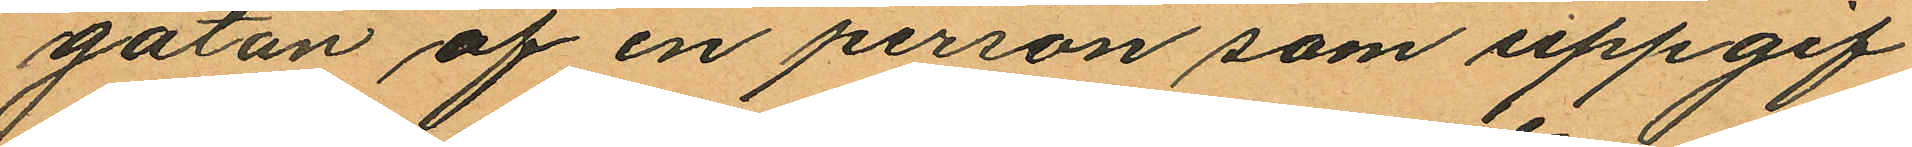gatan af en person som uppgif¬
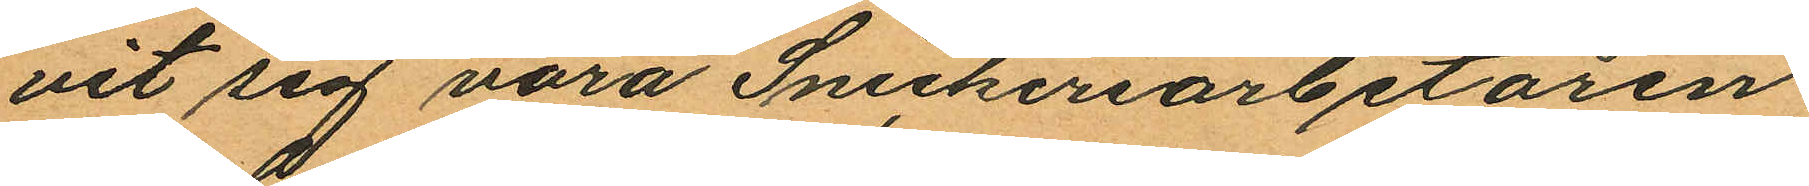vit sig vara Snickeriarbetaren
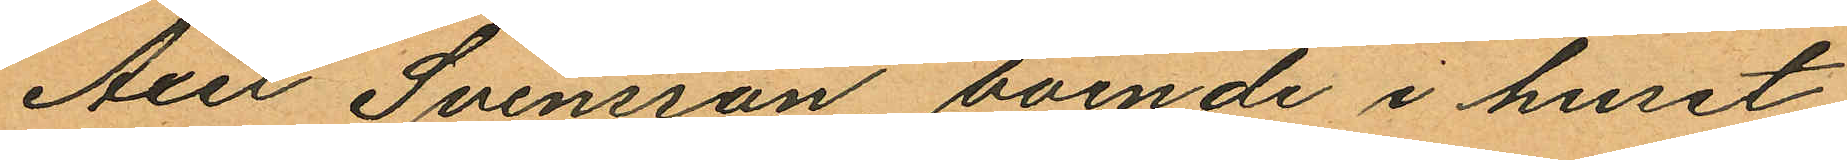Axer Svensson boende i huset
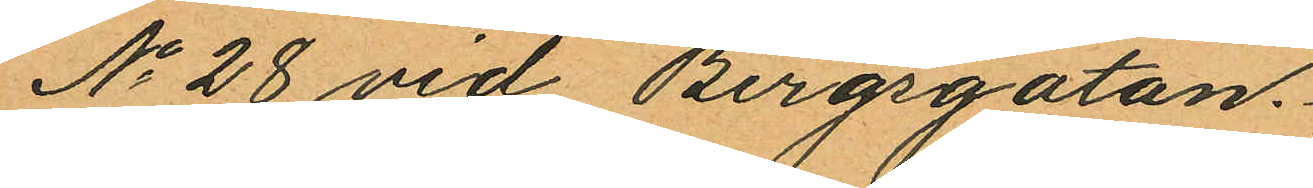No 28 vid Bergsgatan.
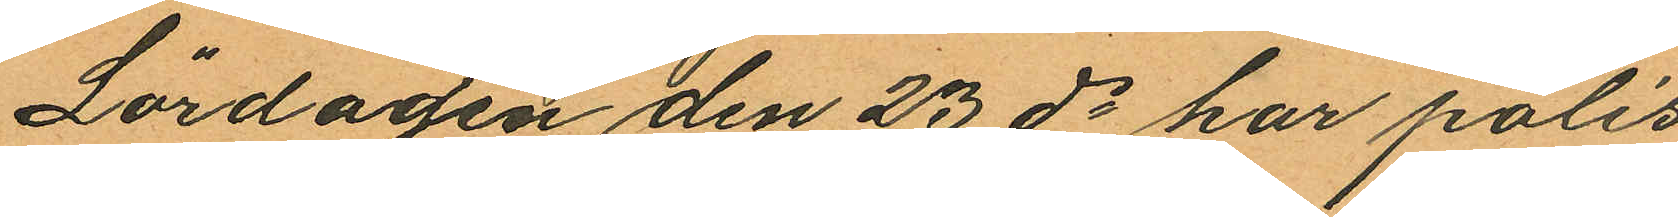Löragen den 23 ds har polis
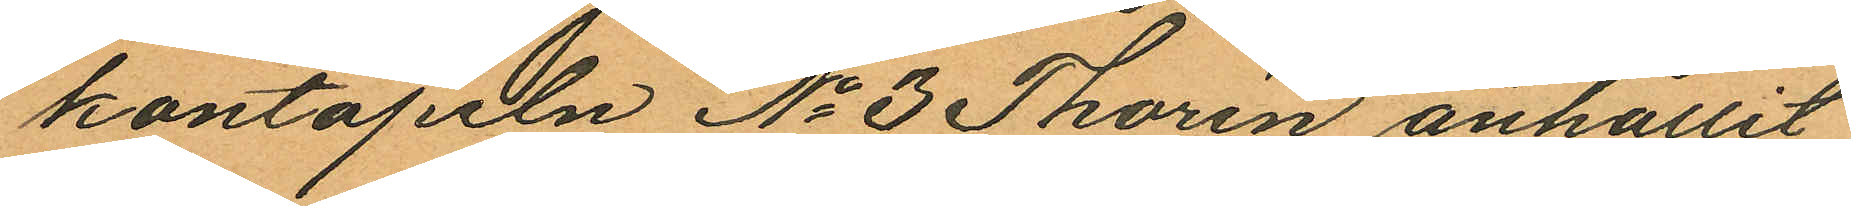kontapeln No 3 Thorén anhållit
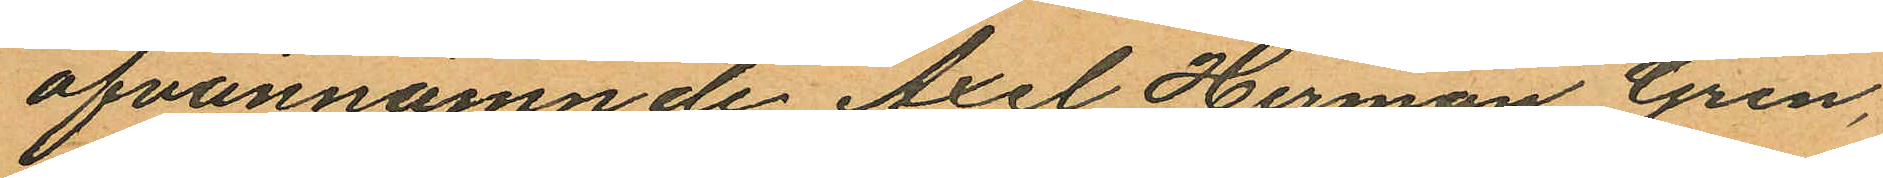ofvannämnde Axel Herman Gren,
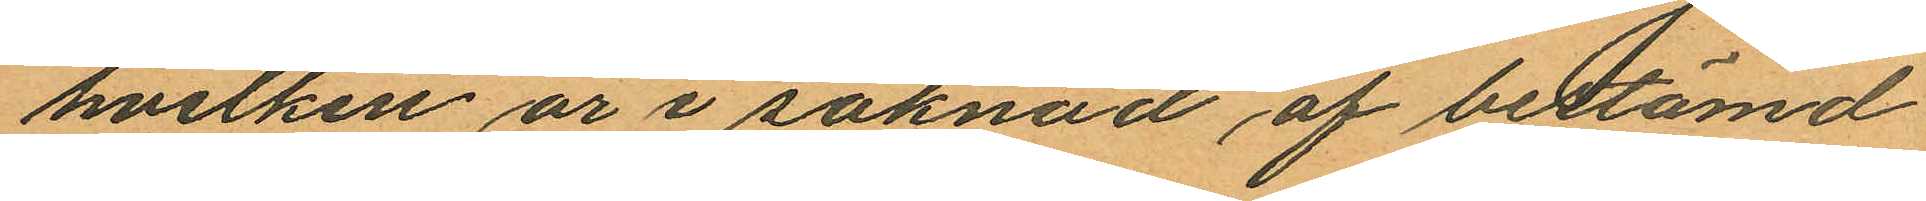hvilken är i saknad af bestämd
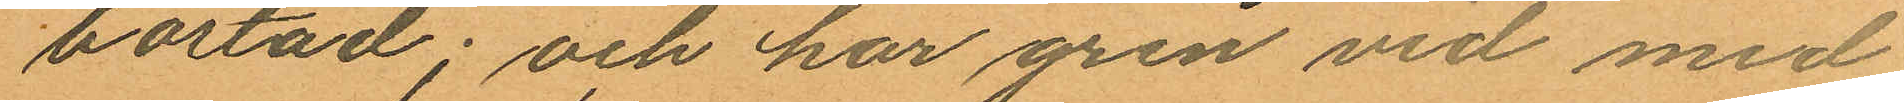bostad; och har gren vid med
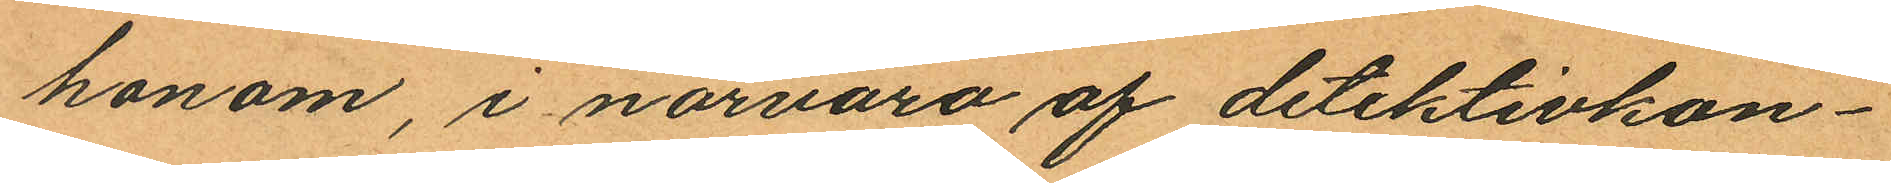honom, i närvaro af detektivkon¬
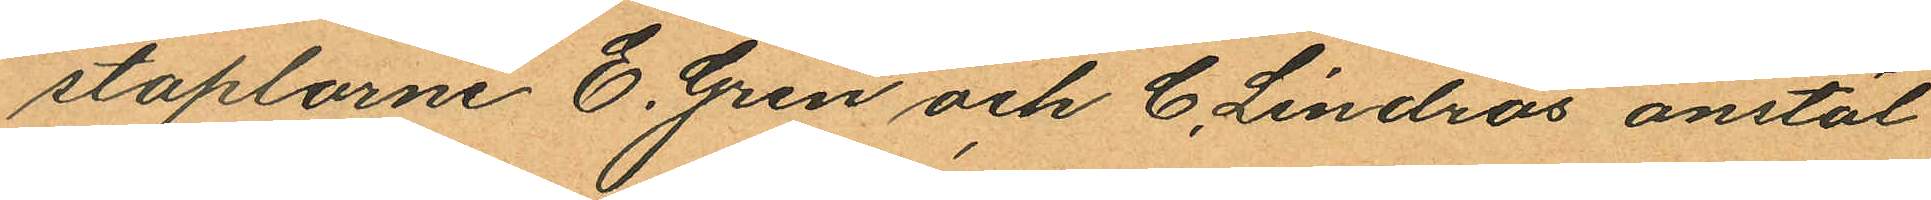staplarne E. Gren och C. Lindros anstäl¬
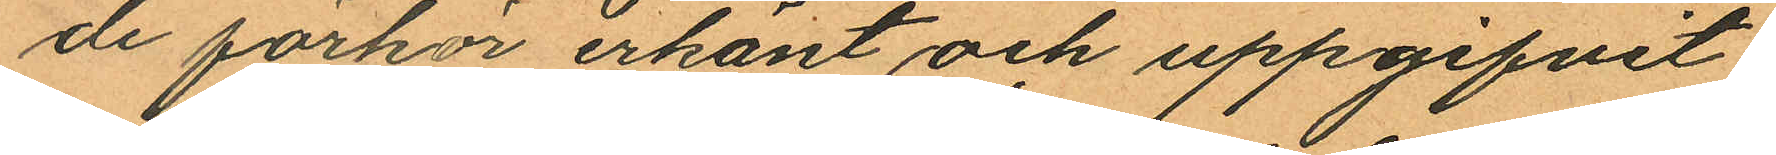de förhör erkänt och uppgifvit
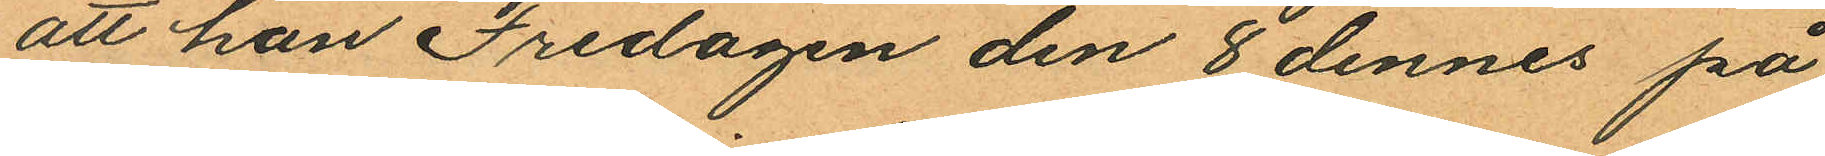att han Fredagen den 8 dennes på
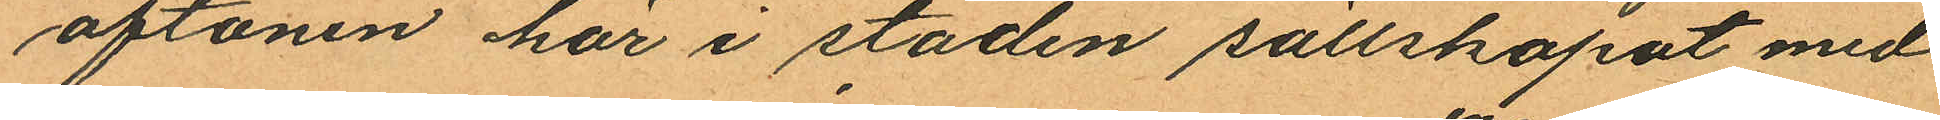aftonen här i staden sällskapat med
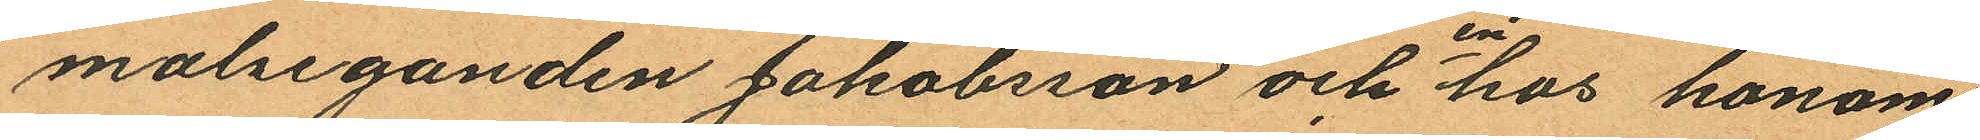malseganden Jakobsson och en hos honom
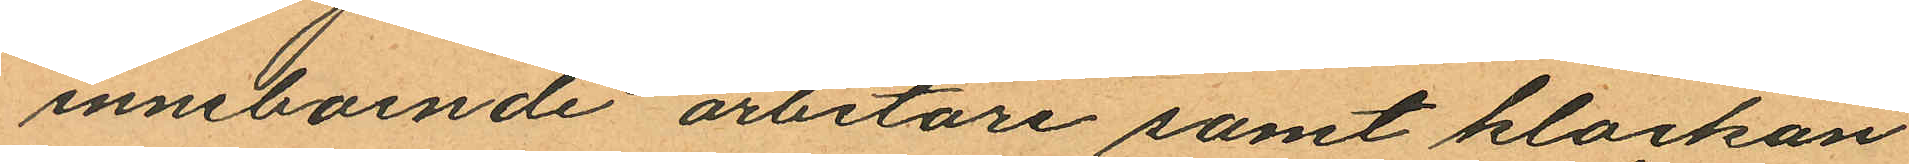inneboende arbetare samt klockan
